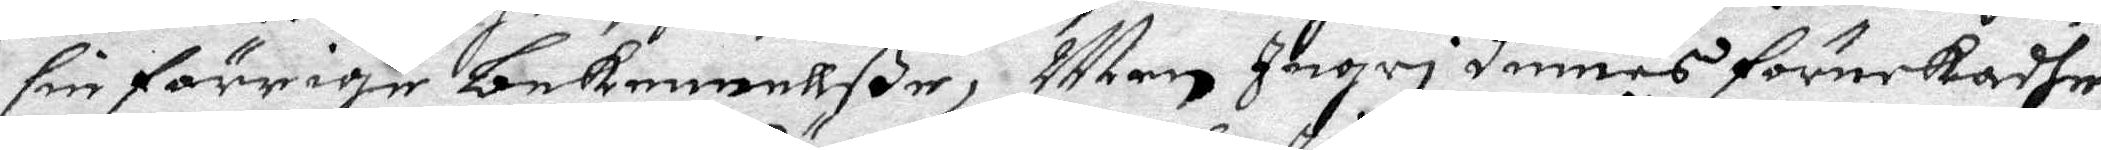sin förrige bekennellße, Men Ingri Dimes förnekadhe
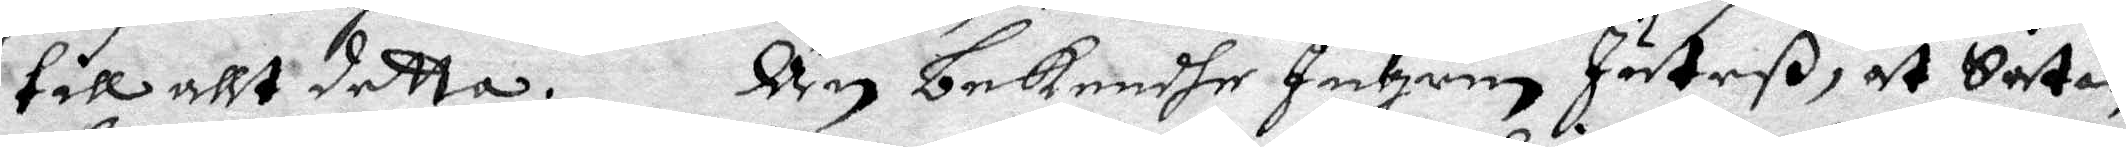till allt detta. Än bekendhe Ingrin Juteß, at Satan
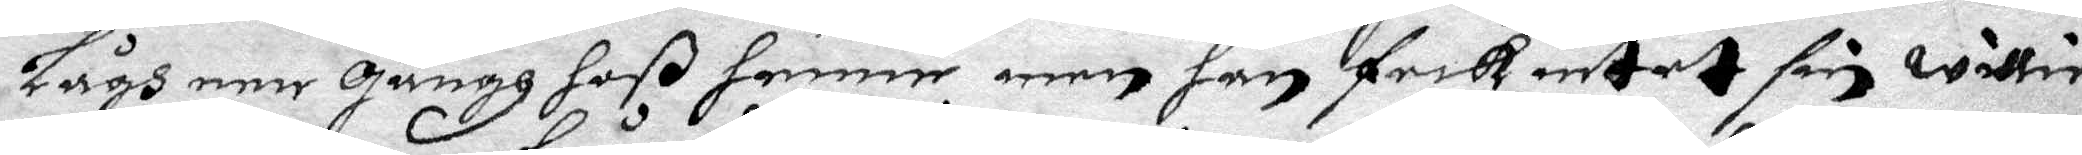Lågh een gångh hoß henne men han feck intet sin willie
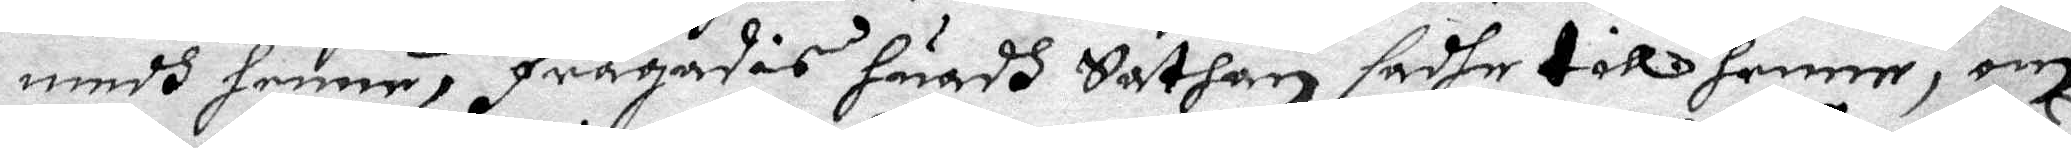medh henne, Frågades huadh Sathan sadhe till henne, om
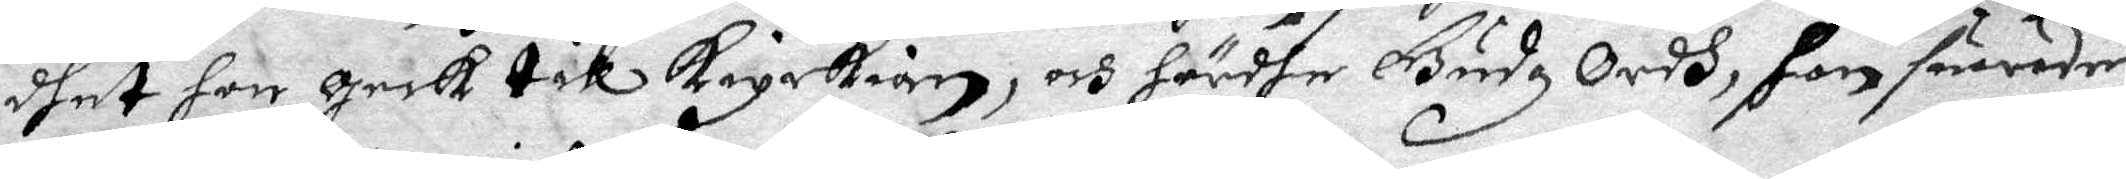dhet hon geck till kyrkian, och hördhe Gudz Ordh, gon suarade:
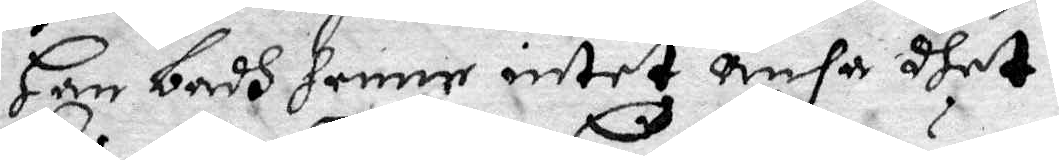Han badh henne intet ansa dhet.
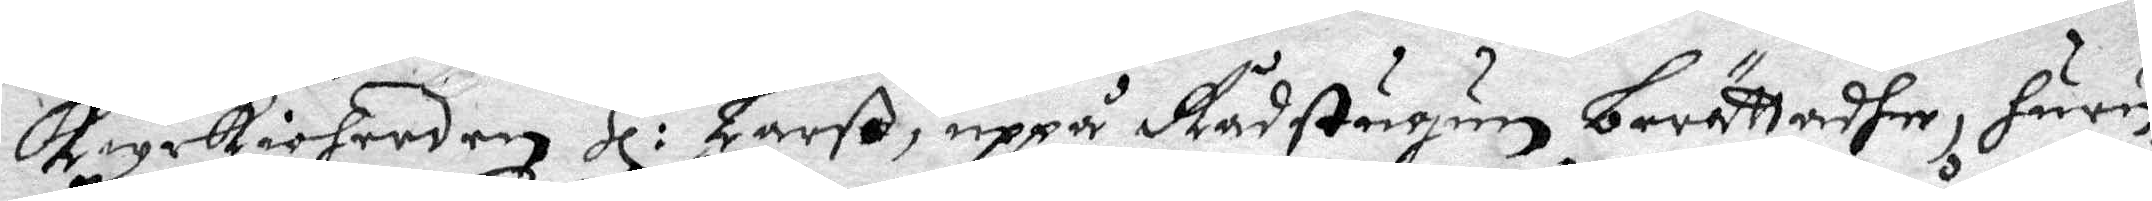kyrkioherden Hl: Larß uppå Rådstugun berättadhe, huru¬
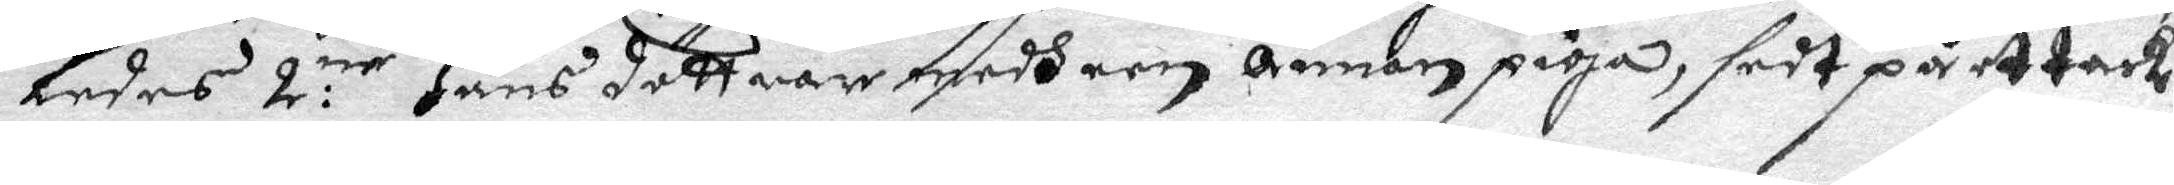ledes 2:ne Hans döttrar medh een annan piga, sedt på et tack
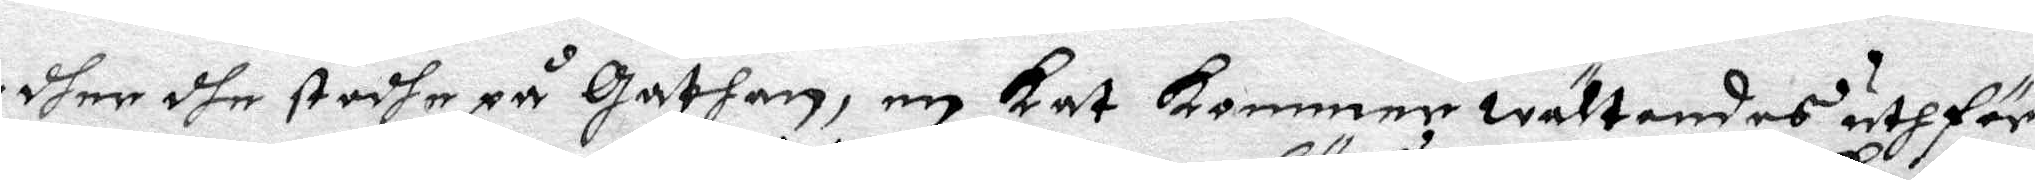dher dhe stodhe på Gathan, en kat kommer wältandes uth för
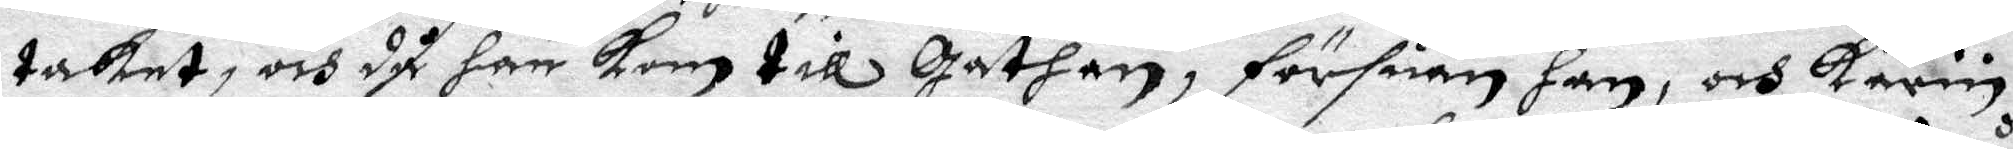taket, och då  han kom till Gathan, försuan han, och Karin
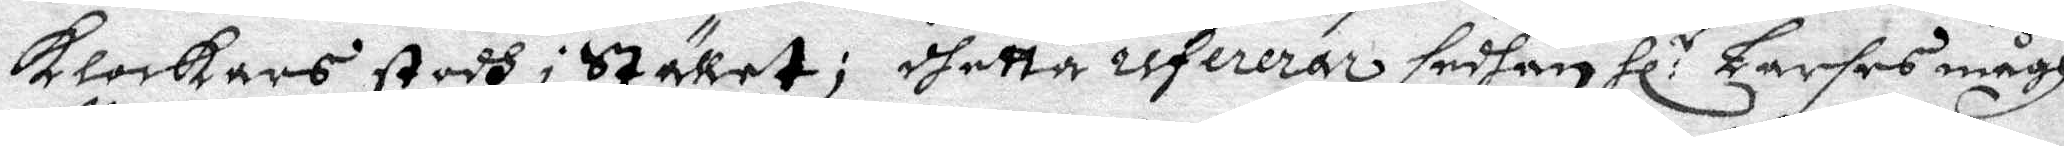Klockars stodh i Stället; dhetta refererar sedhan Hl:r Larses mågh
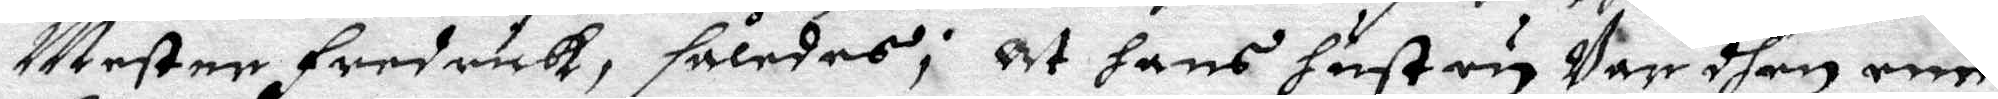Mester Fredrick, således; At hans hustru ey Var dhen ene
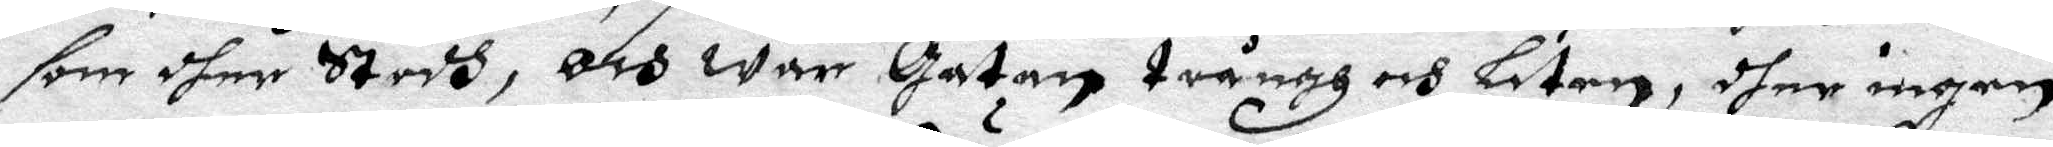som dher Stodh, och war Gatan trångh och Liten, dher ingen
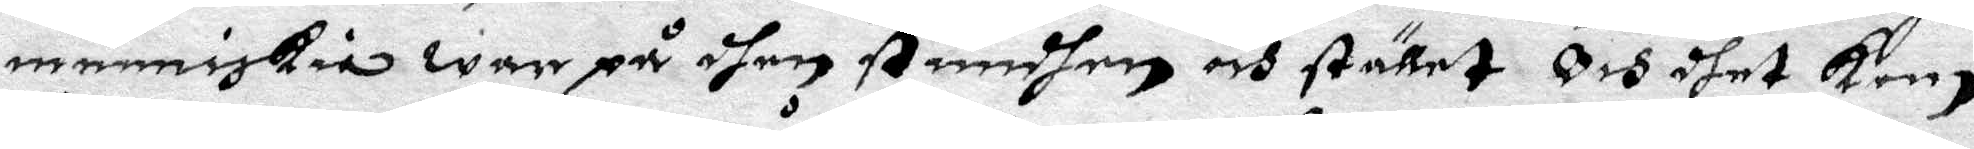menniskia war på dhen Stundhen och stället Och dhet kom
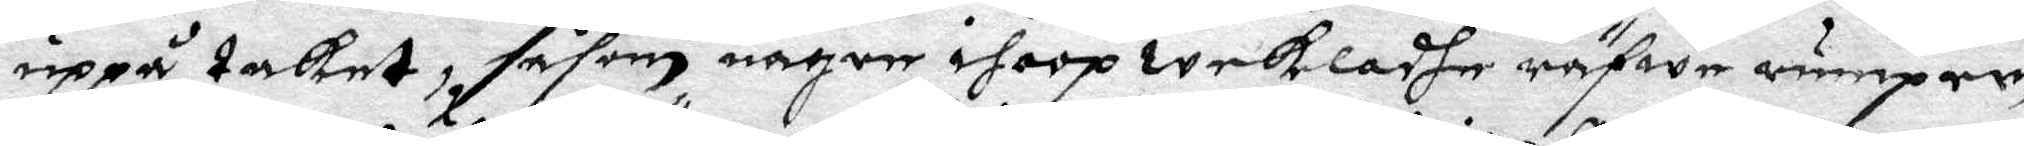upp taket, såsom någon ihoop weckladhe räfwe rumper,
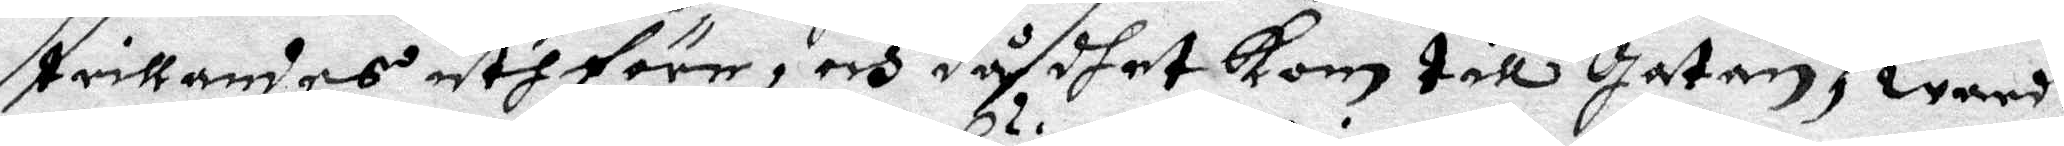trillandes uthföre, och då dhet kom till Gatan, warit
